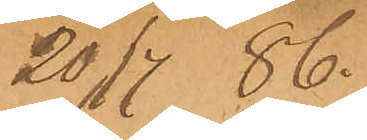20/7 86.
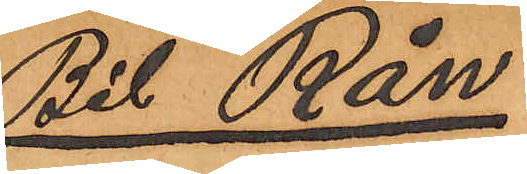Bil "Rån"
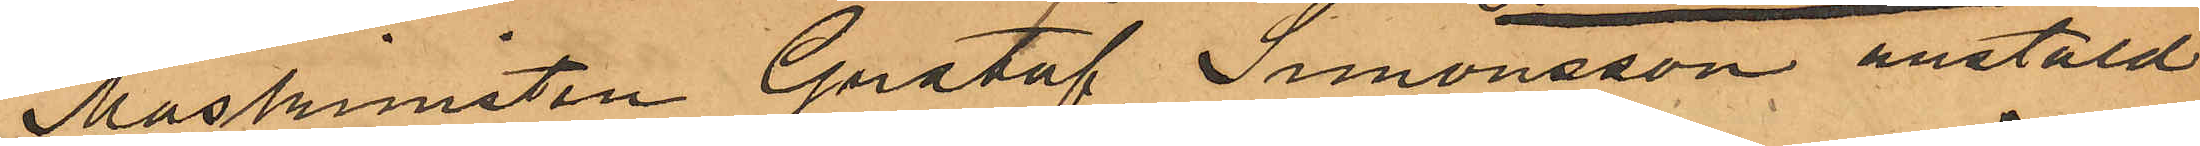Maskinisten Gustaf Simonsson anstäld
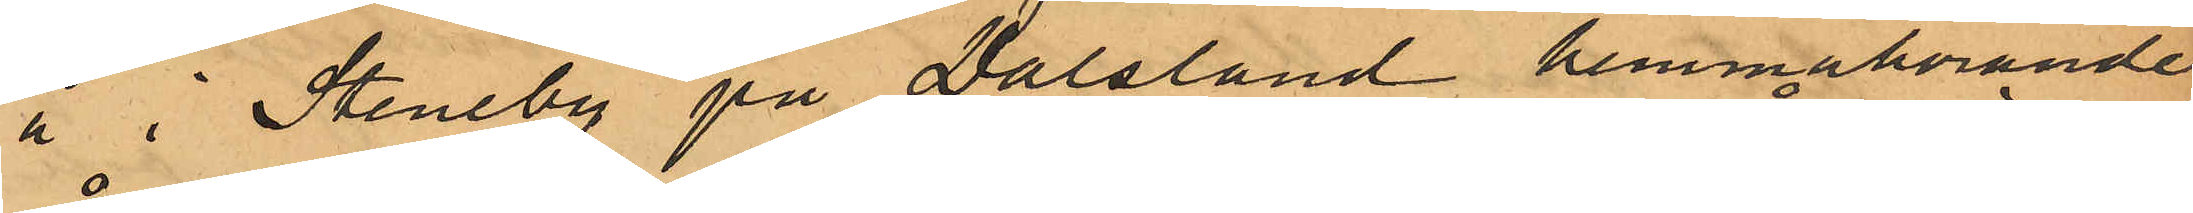å i Steneby på Dalsland hemmahörande
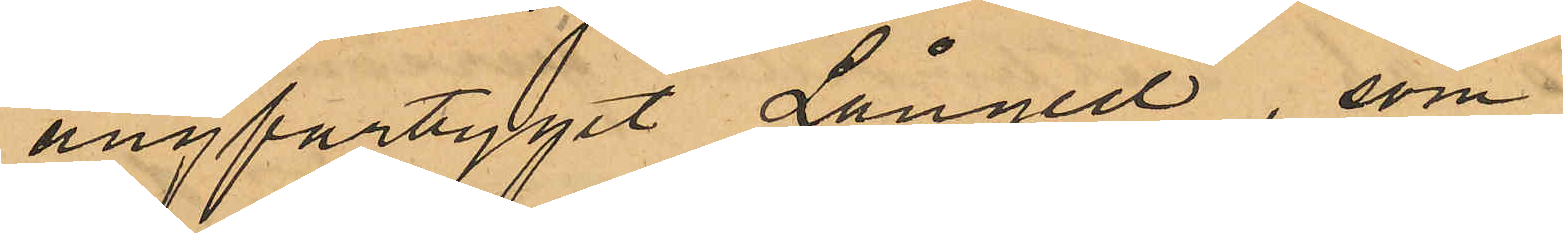ångfartyget Långed, som
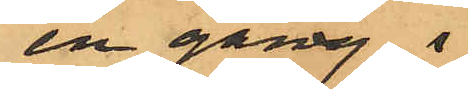en gång i
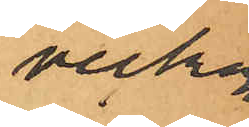veckan
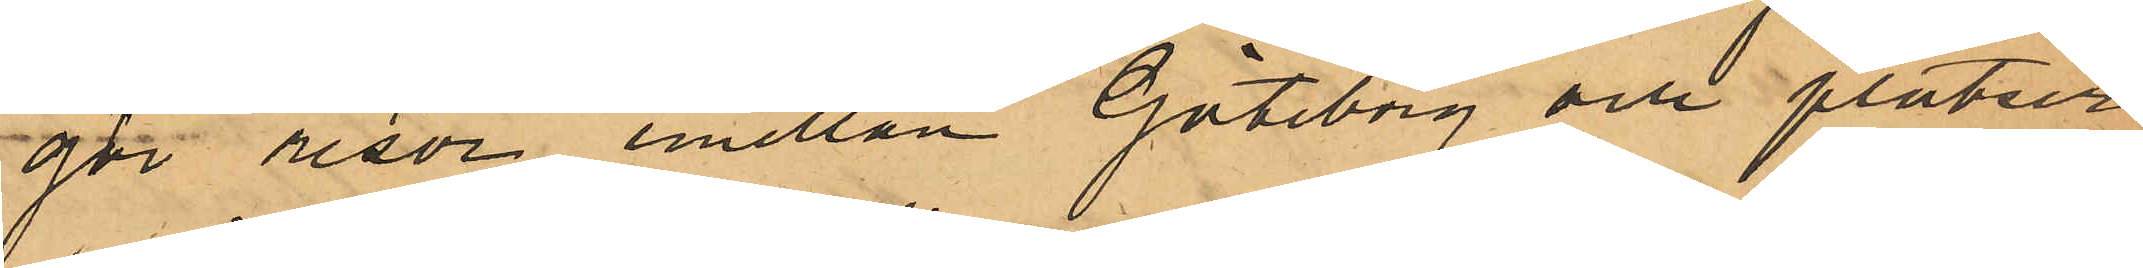gör resor emellan Göteborg och platser
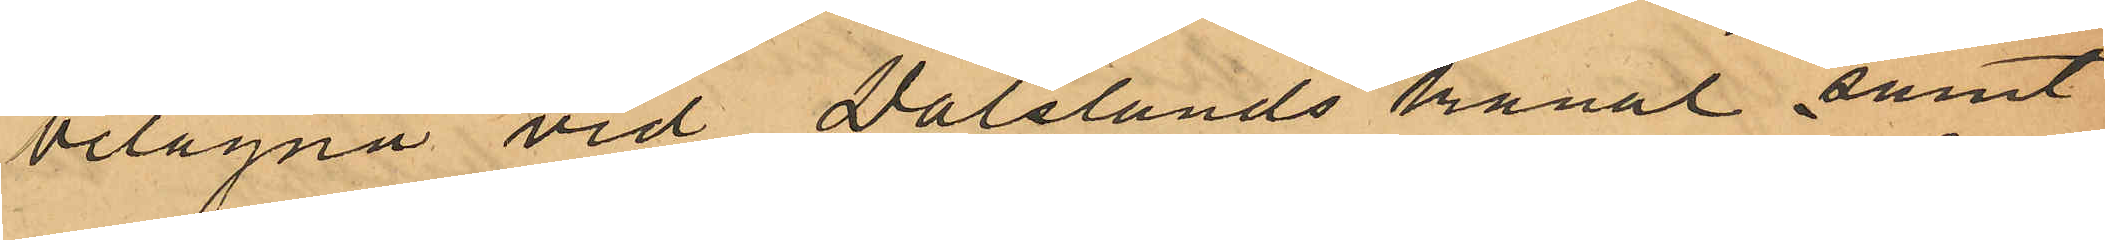belägna vid Dalslands kanal samt
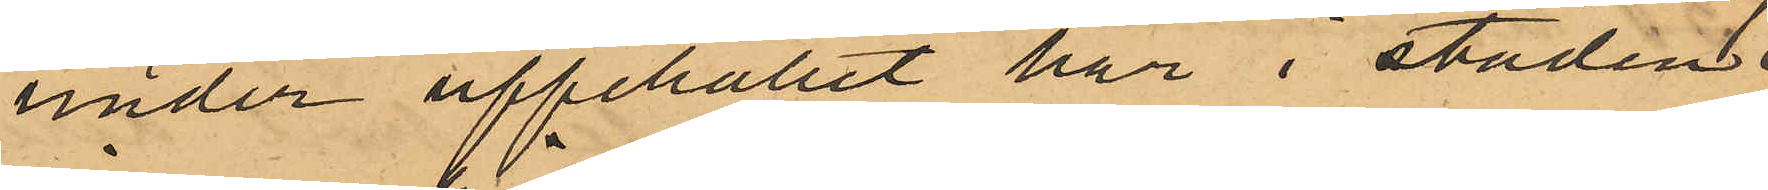under uppehållet här i staden.
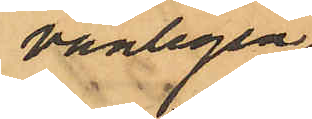vanligen
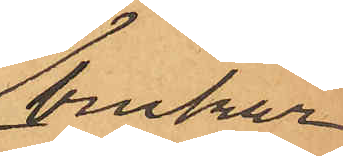brukar
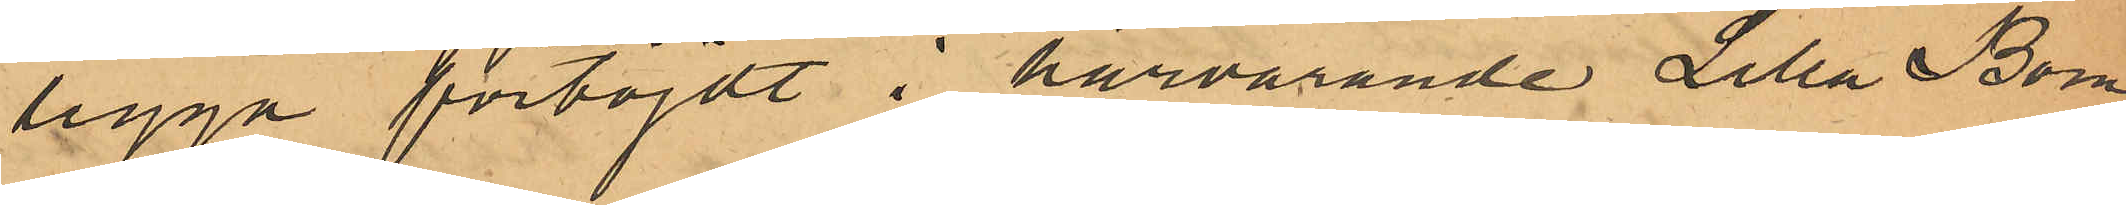ligga förtöjdt i härvarande Lilla Bom¬
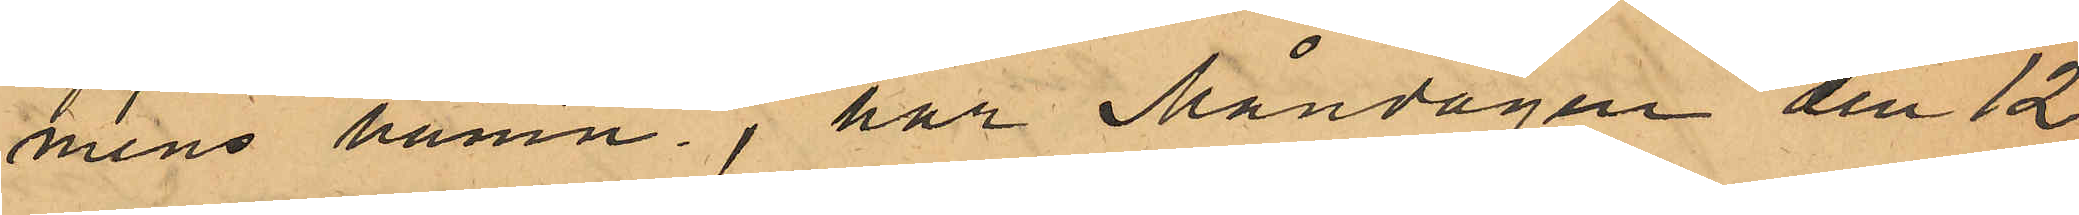mens hamn, har Måndagen den 12
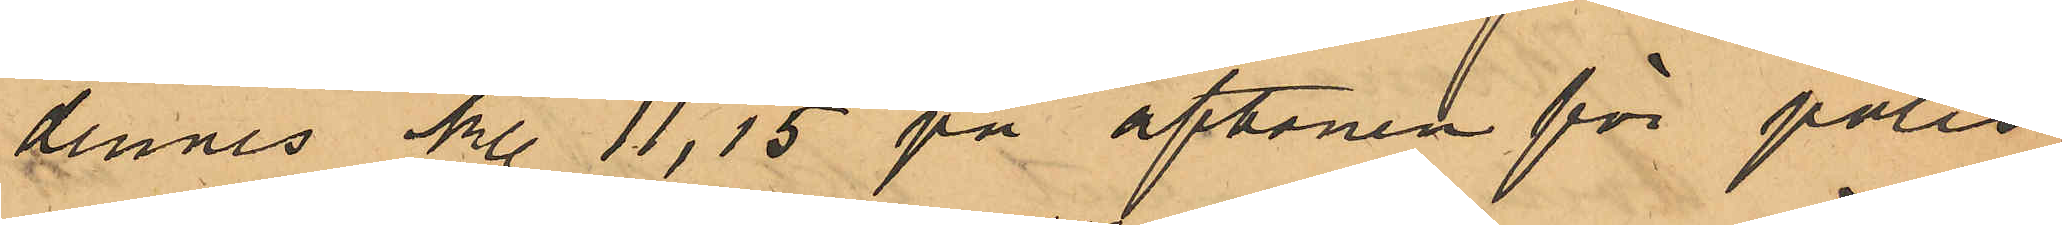dennes kl. 11,15 på aftonen för polis¬
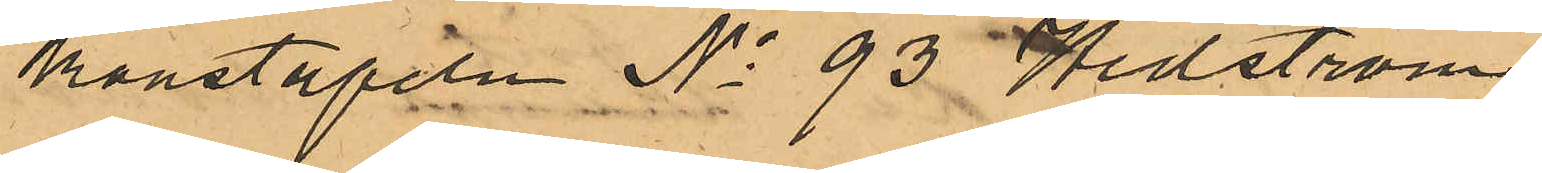konstapeln No 93 Hedström,
